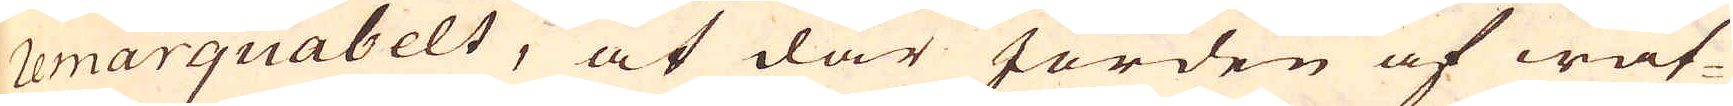remarquabelt, at där Jorden af wat-
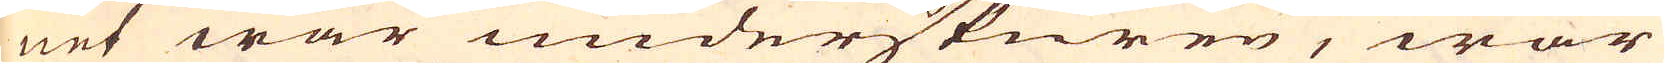net war underskuren, war
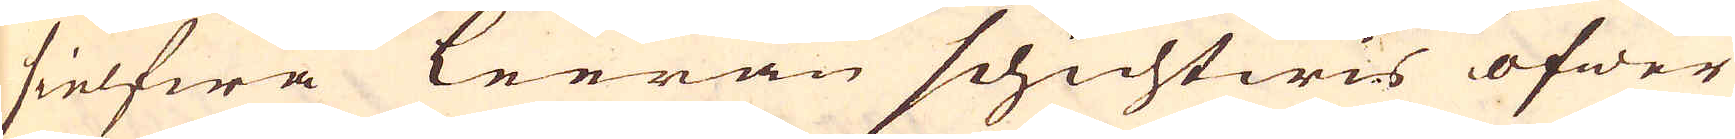sielfwa Leeran schichtwis öfwer
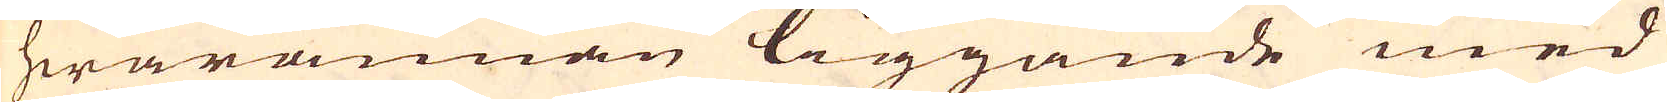hwarannan liggande med
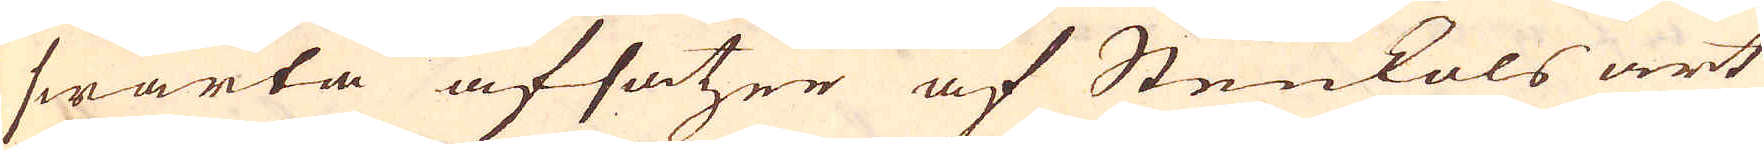swarta afsatzer af Stenkols art
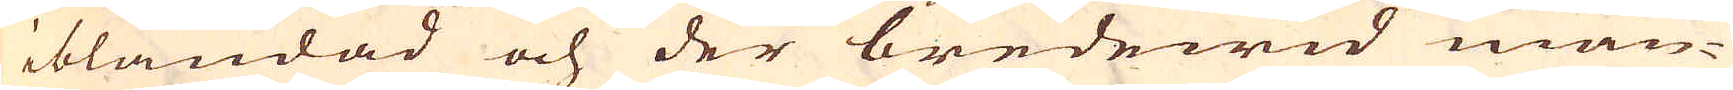iblandad och der bredewid mån-
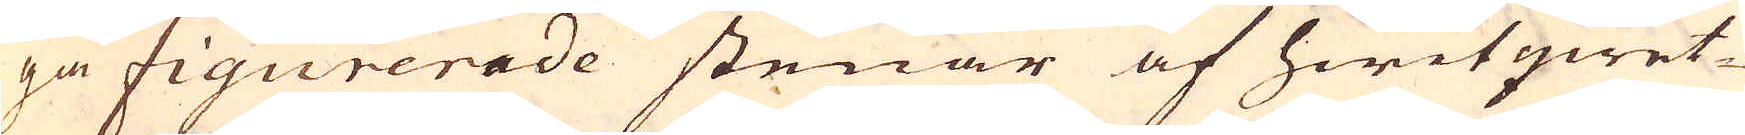ga figurerade stenar af hwitqwet-
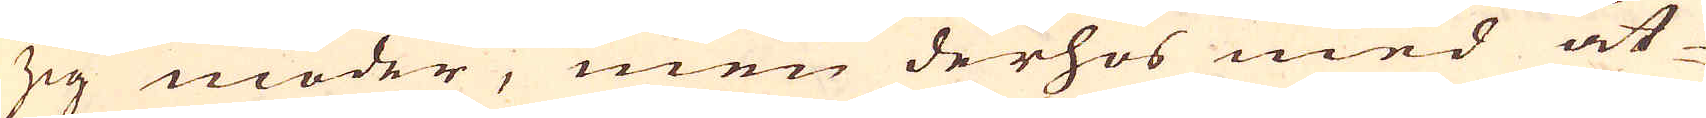zig moder, men derhos med åt-
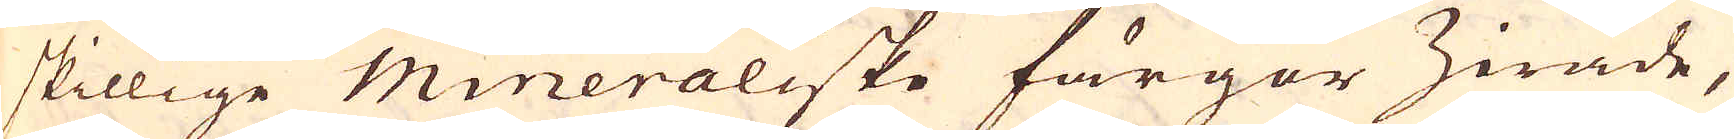skillige mineraliske färgor Zirade,
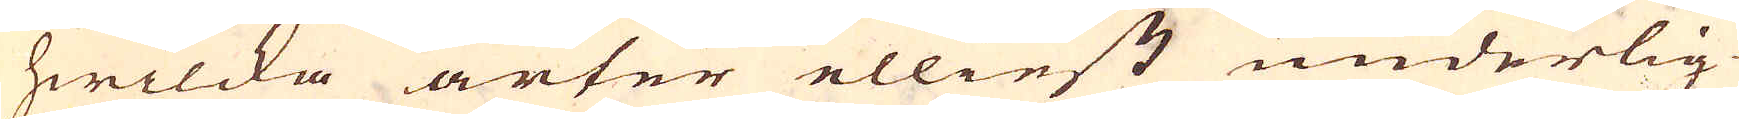hwilcka arter elliest underlig-
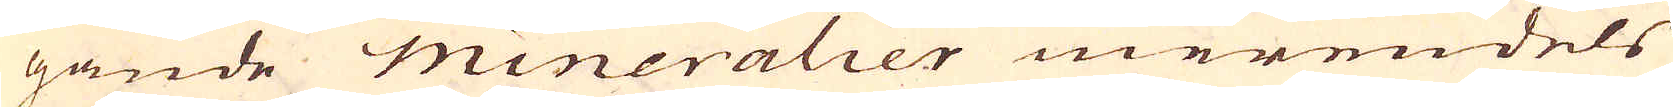gande mineralier merendels
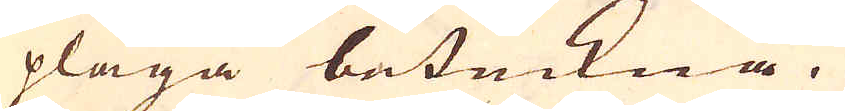pläga beteckna.
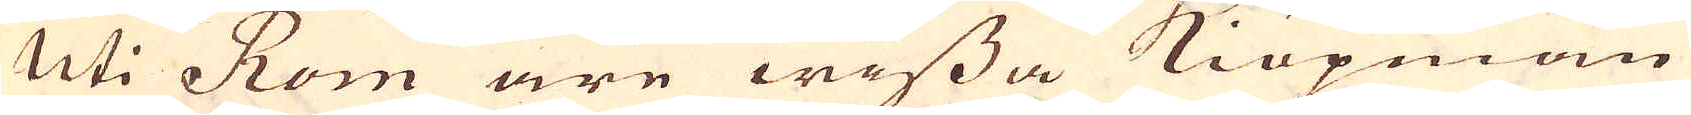Uti Rom äre wissa Kiöpmän
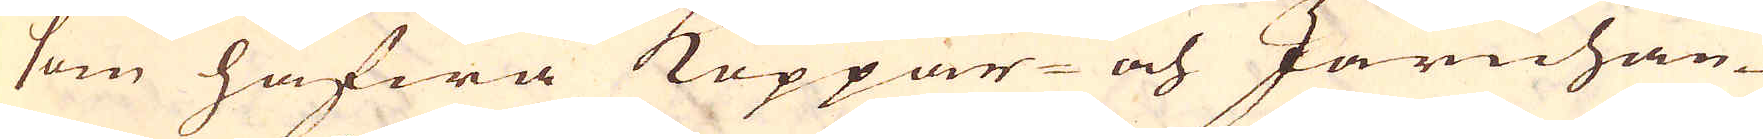som hafwa Koppar- och Järnhan-
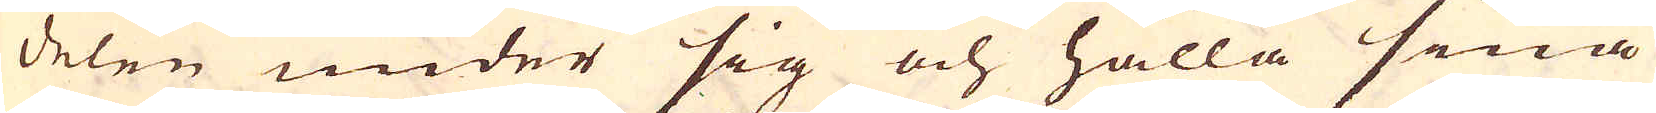delen under sig och hålla sina
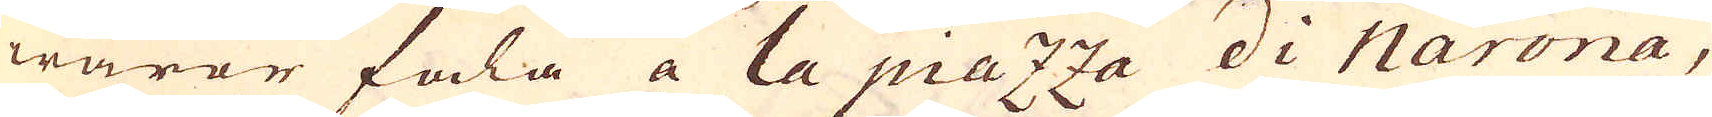waror fala a la piazza di Narona,
